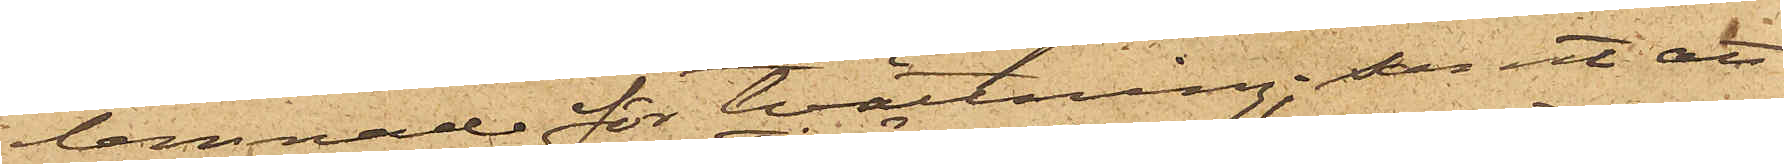lemnade för tvättning; samt att
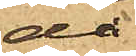då
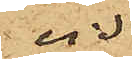vid
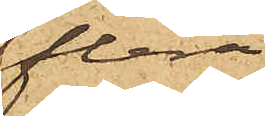flera
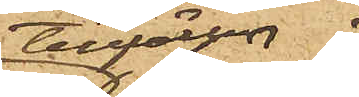tillfällen
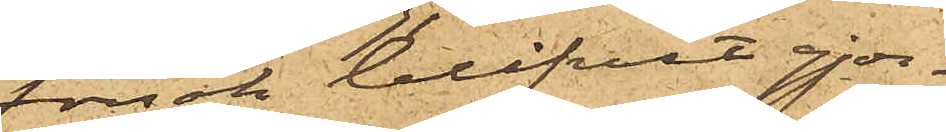försök blifvit gjor¬
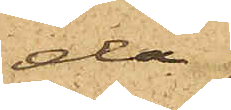da
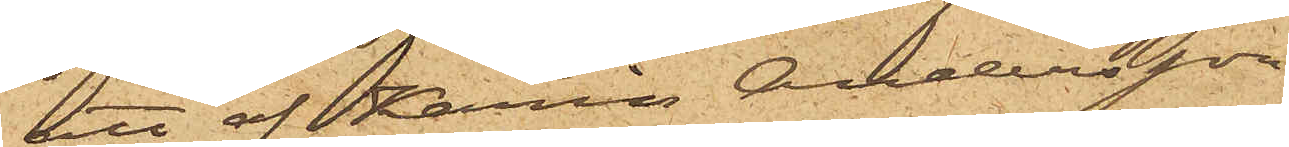att af Karin Andersson
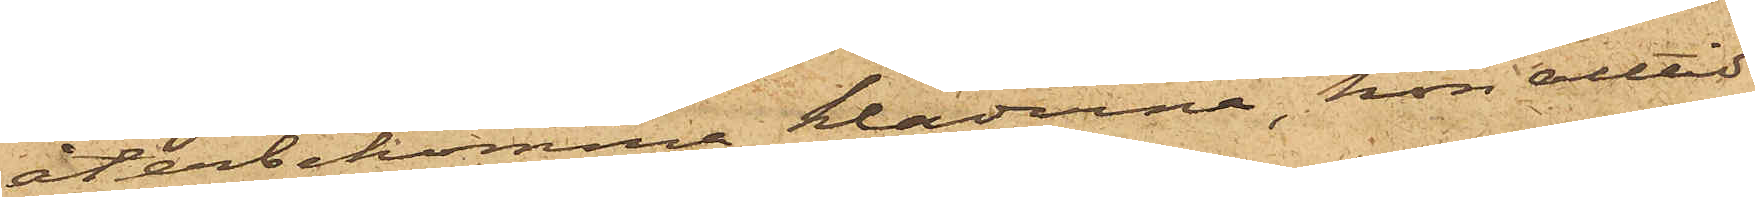återbekomma kläderna, hon alltid
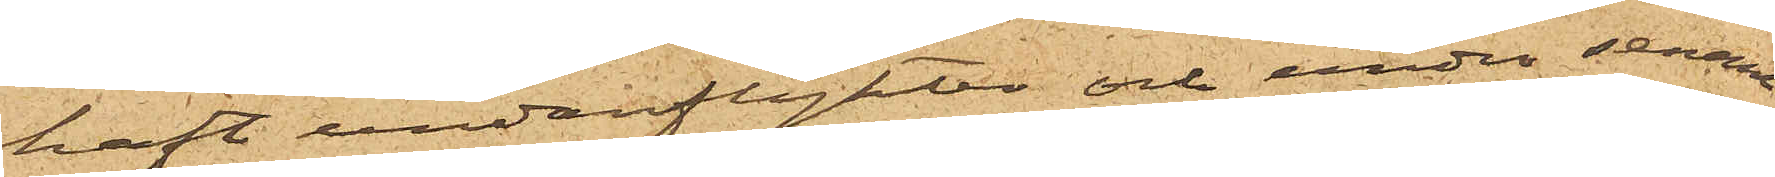haft undanflykter och under senare
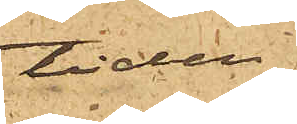tiden
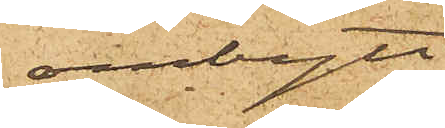ombytt
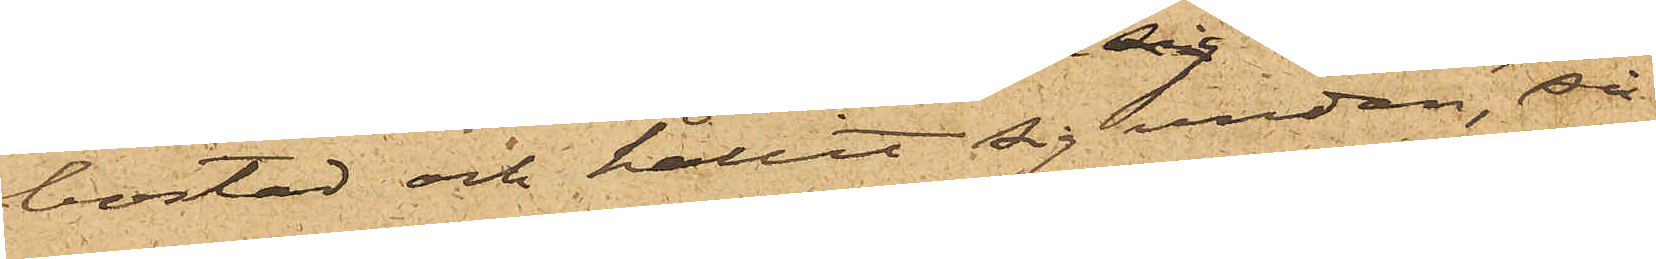bostad och hållit sig undan, så
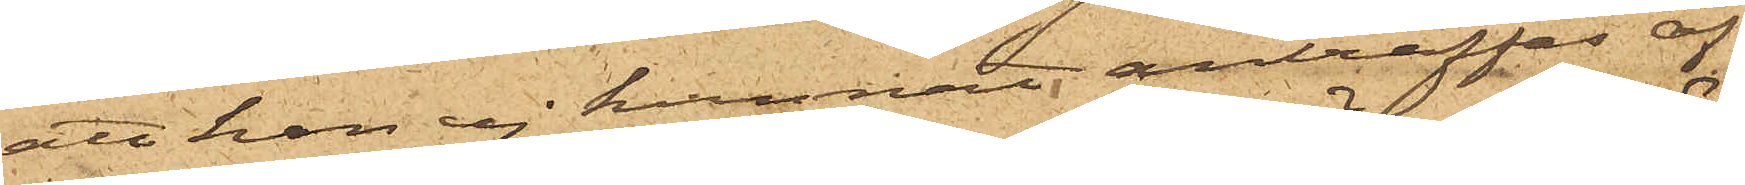att hon ej kunnat anträffas af
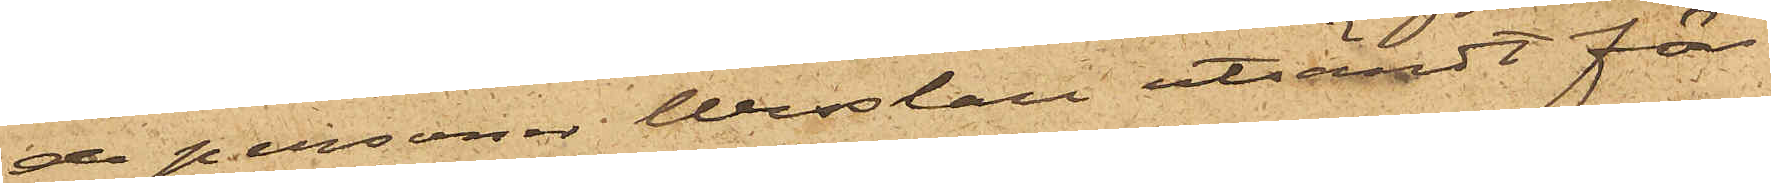de personer Wesslau utsändt för
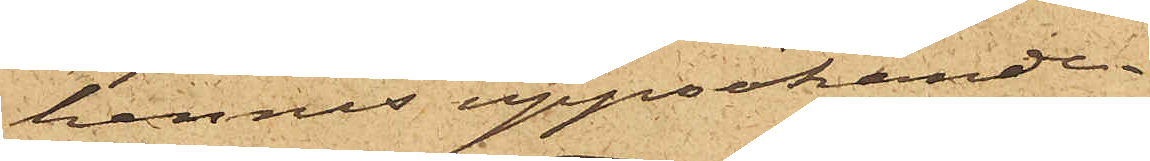hennes uppsökande.
